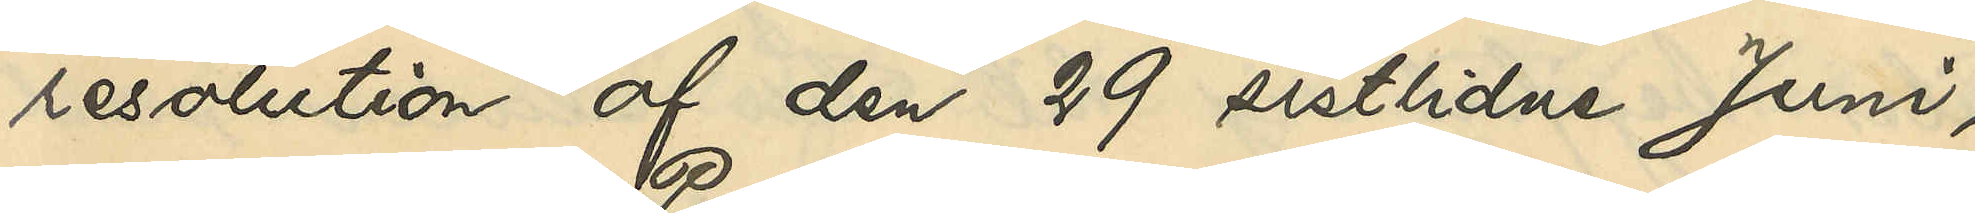resolution af den 29 sistlidne Juni,
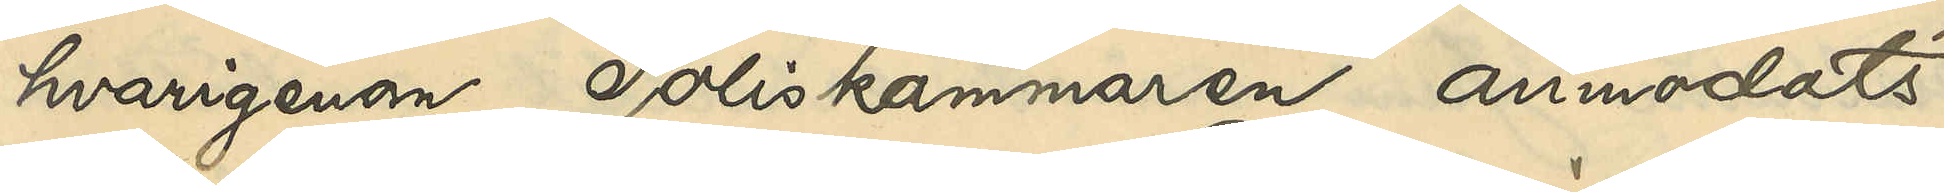hvarigenom Poliskammaren anmodats
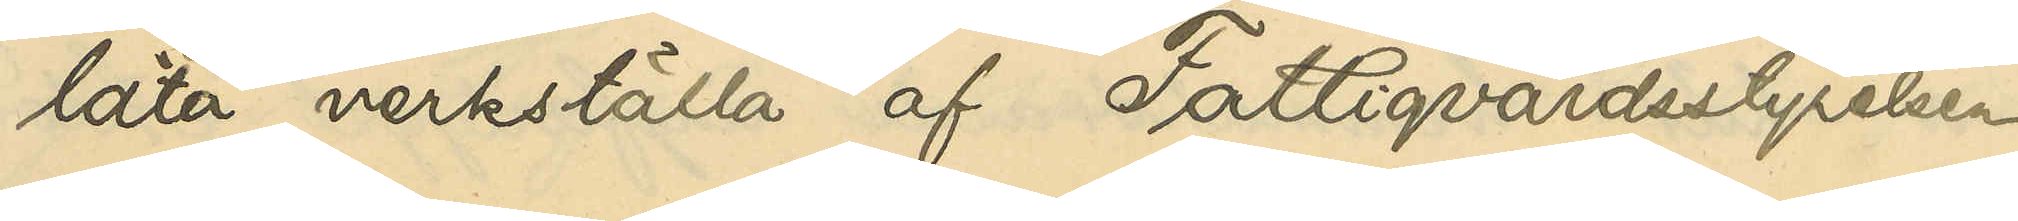låta verkställa af Fattigvårdsstyrelsen
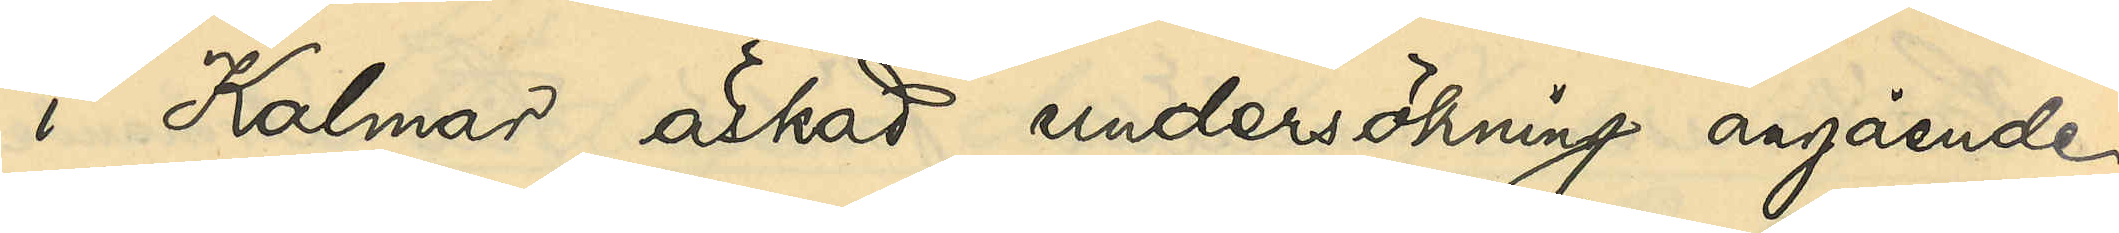i Kalmar äskad undersökning angående
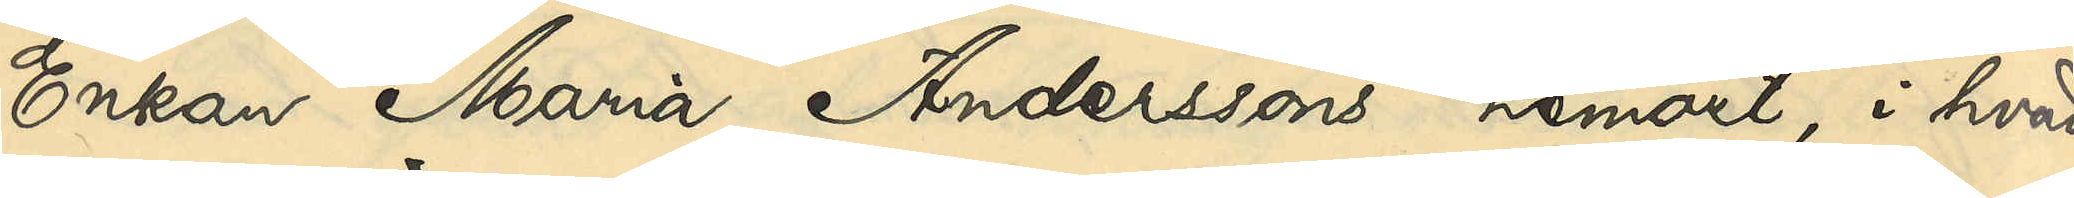Enkan Maria Anderssons hemort, i hvad
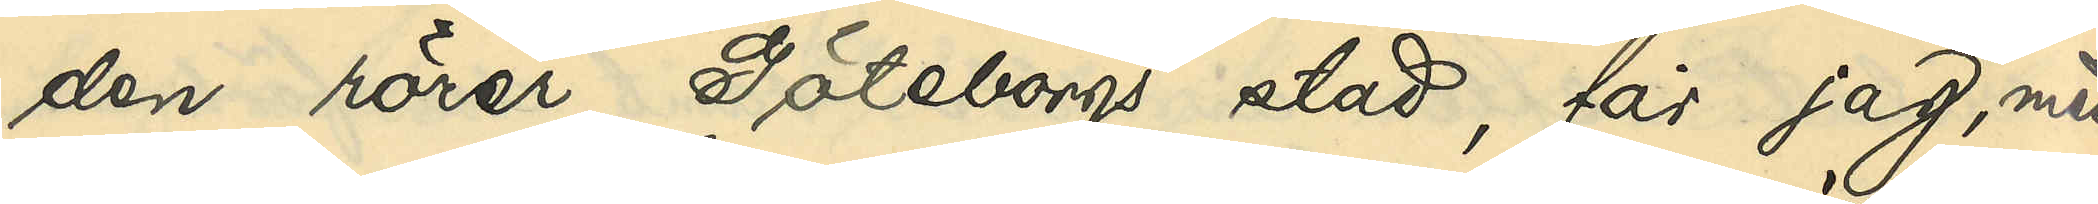den rörer Göteborgs stad, får jag, med
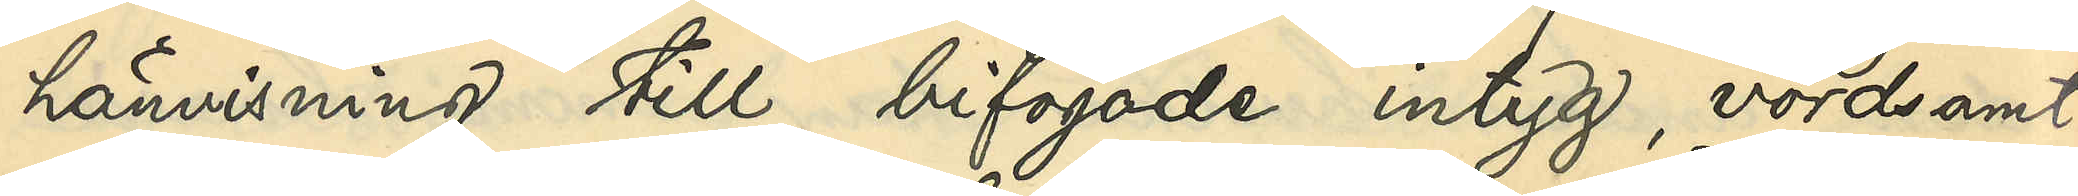hänvisning till bifogade intyg, vördsamt
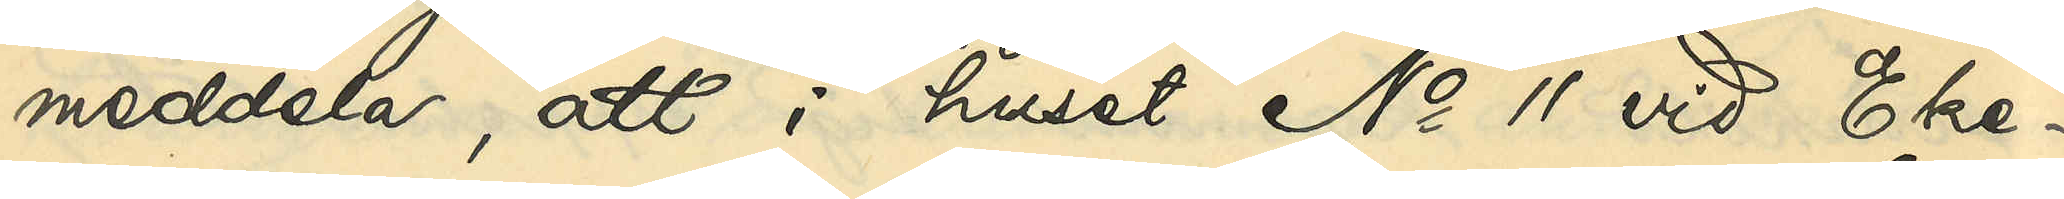meddela, att i huset No 11 vid Eke¬
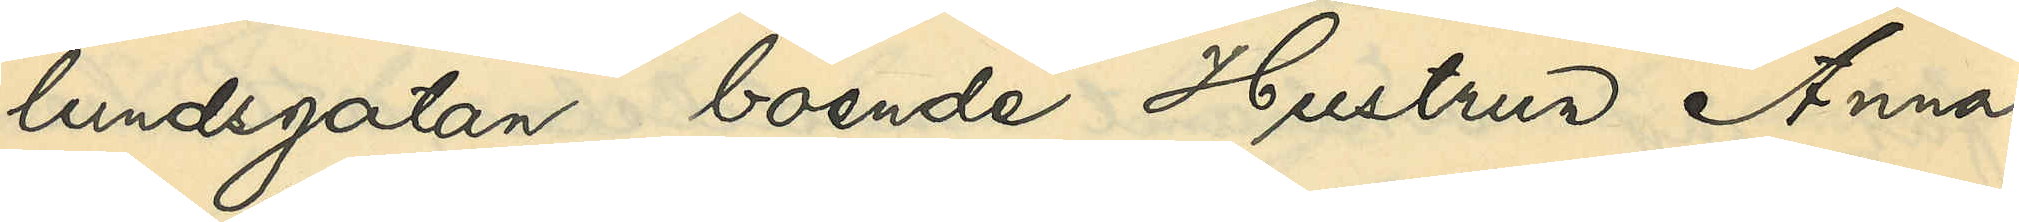lundsgatan boende Hustrun Anna
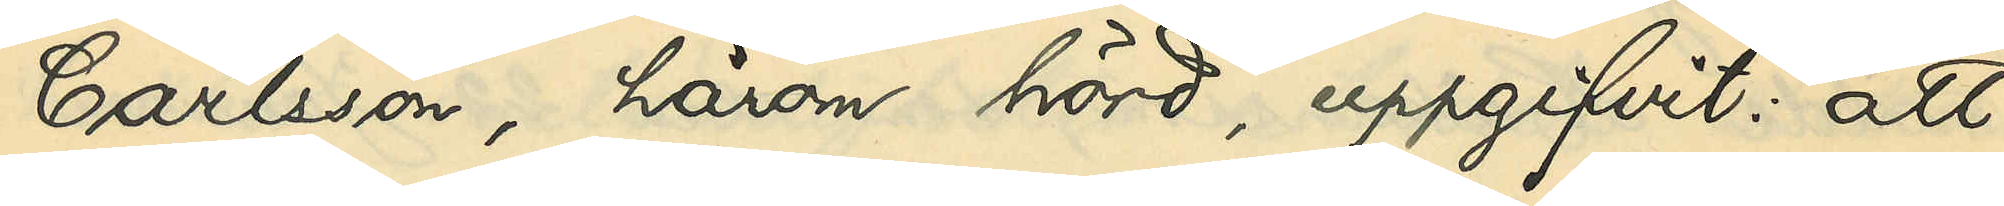Carlsson, härom hörd, uppgifvit: att
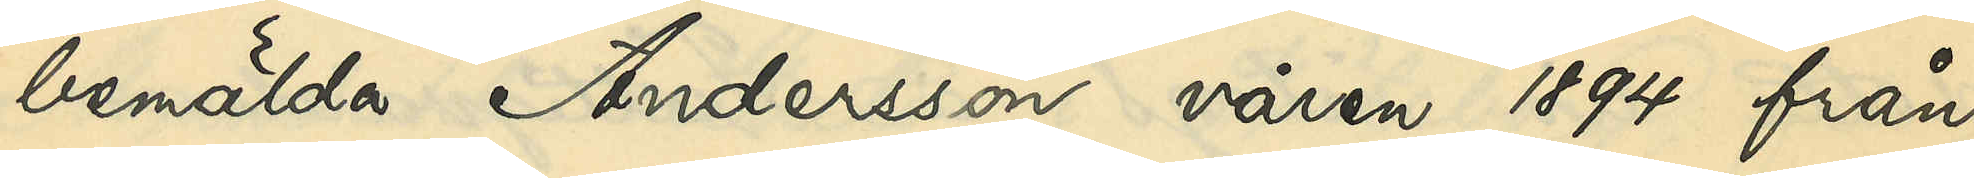bemälda Andersson våren 1894 från
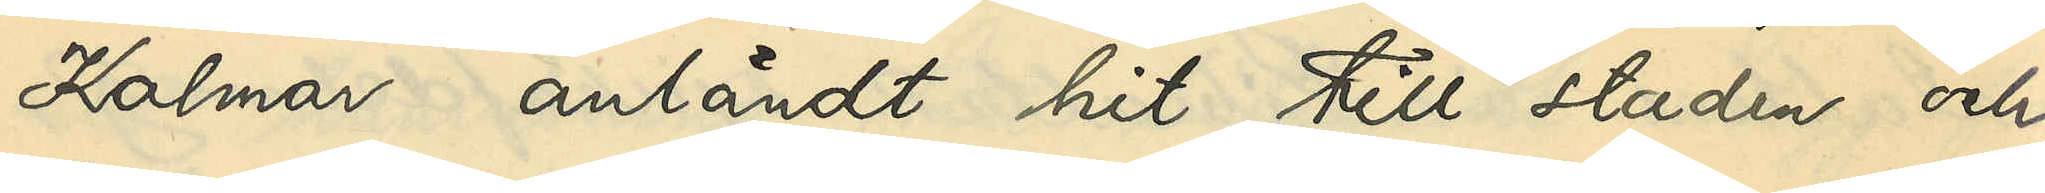Kalmar anländt hit till staden och
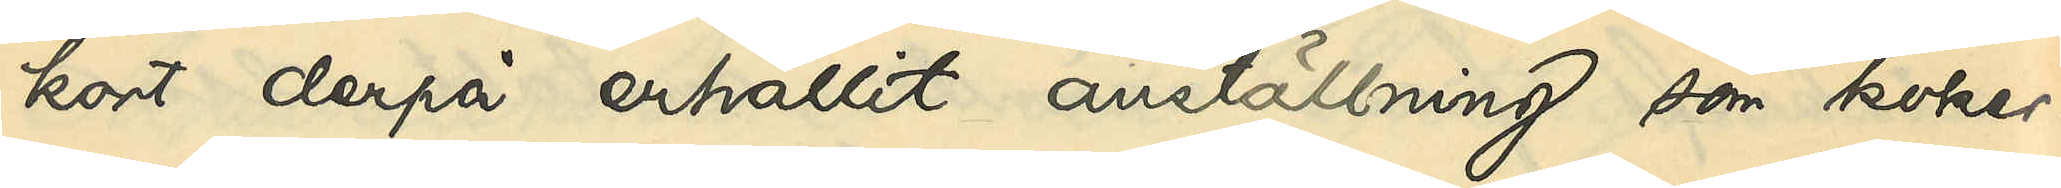kort derpå erhållit anställning som koker¬
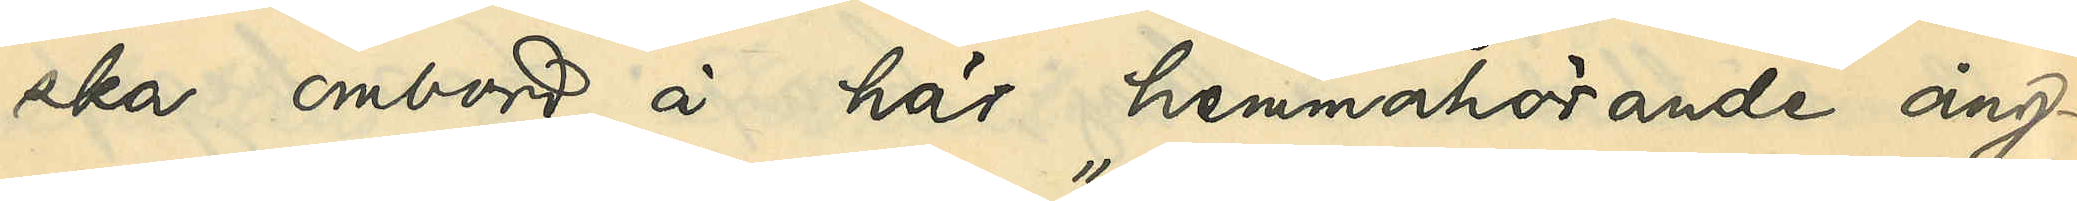ska ombord å här hemmahörande ång¬
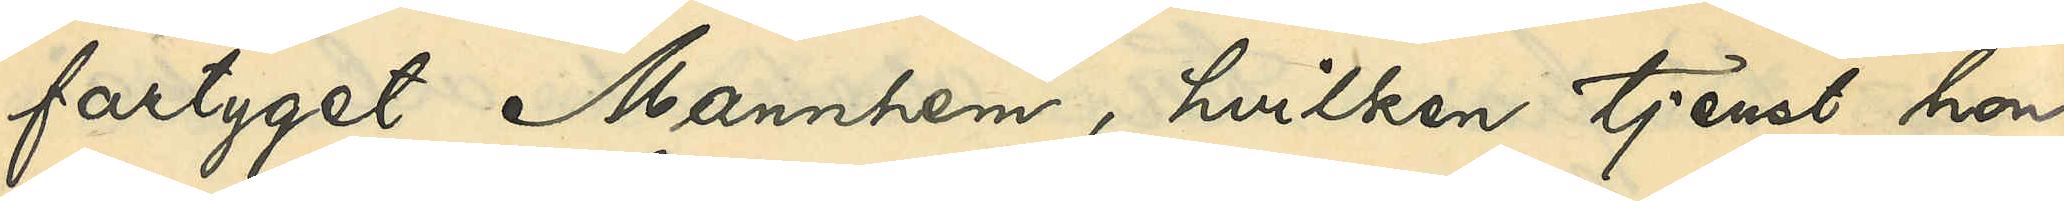fartyget "Mannhem", hvilken tjenst hon
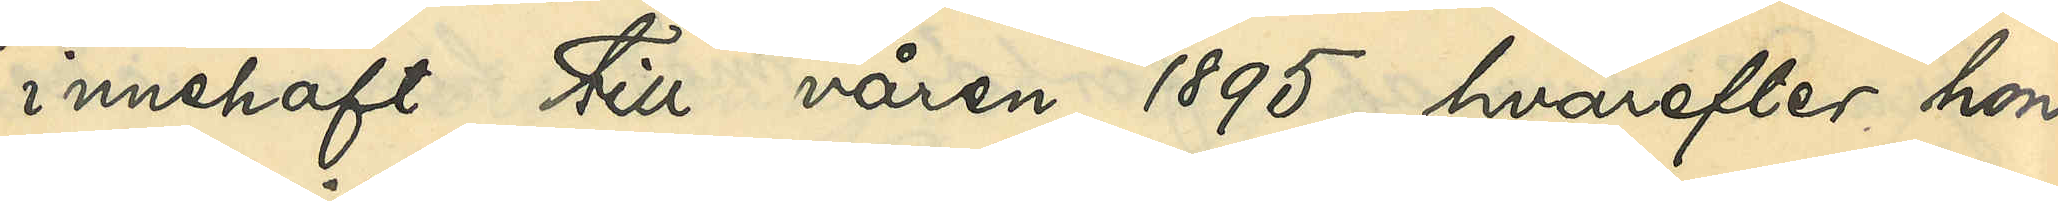innehaft till våren 1895, hvarefter hon
